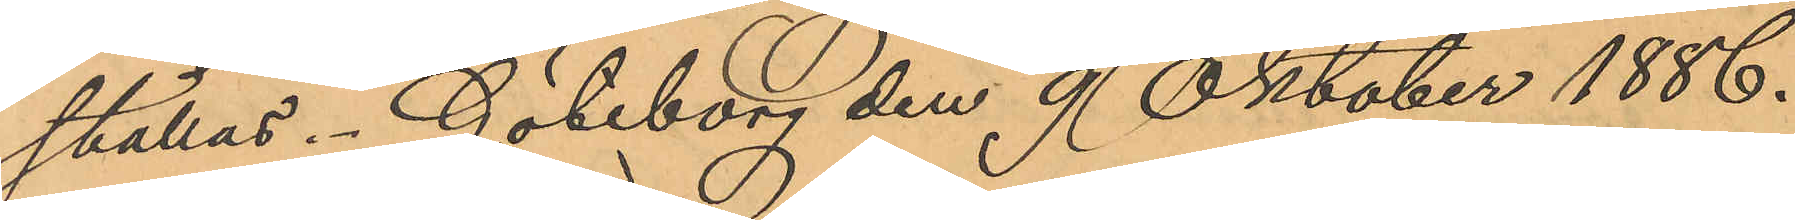ställas. Göteborg den 9 Oktober 1886.
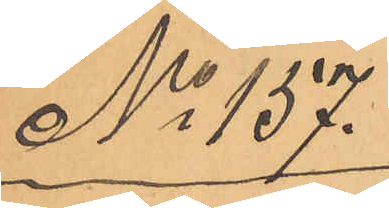No 157.
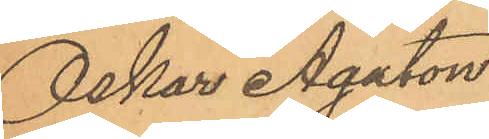Oskar Agaton
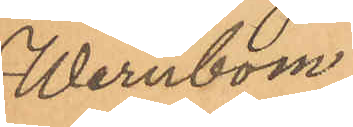Wernbom
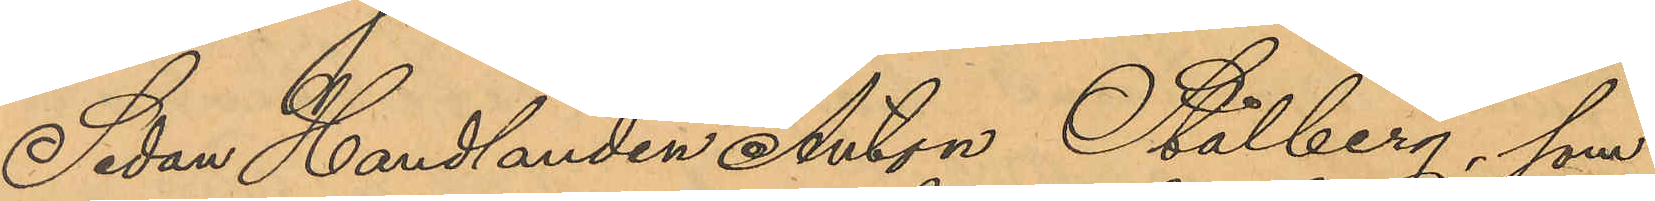Sedan Handlanden Anton Stålberg, som
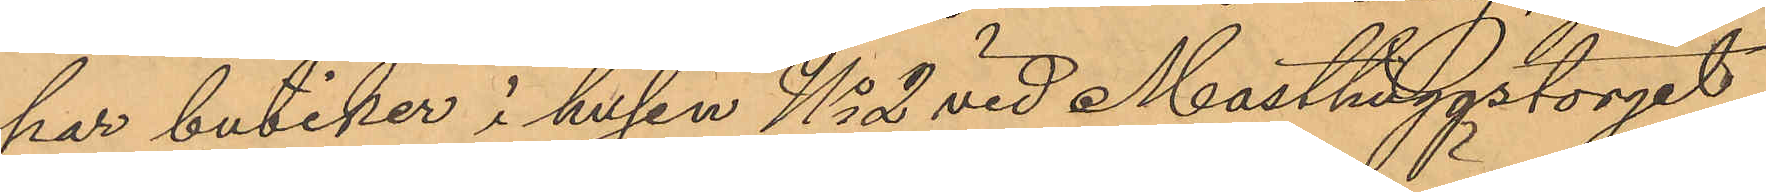har butiker i husen No 2 vid Masthuggstorget
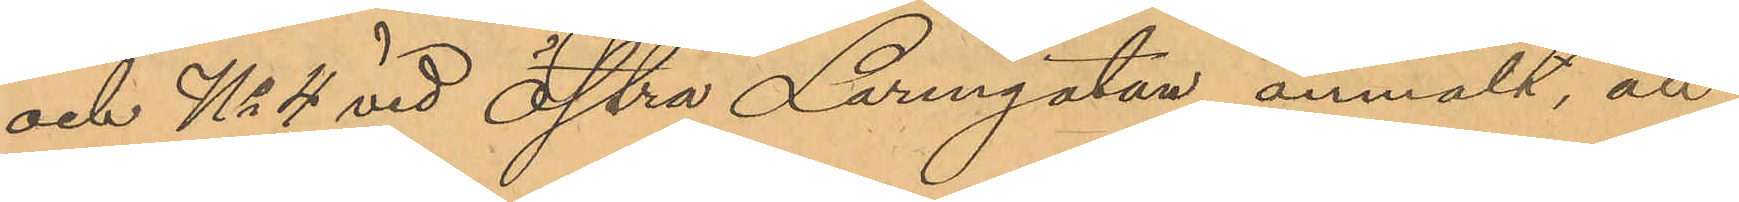och No 4 vid Östra Larmgatan, anmält, att
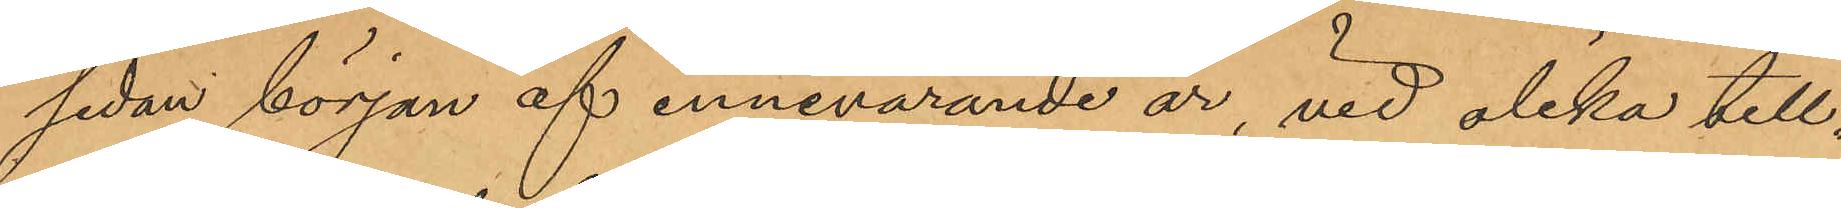sedan början af innevarande år, vid olika till¬
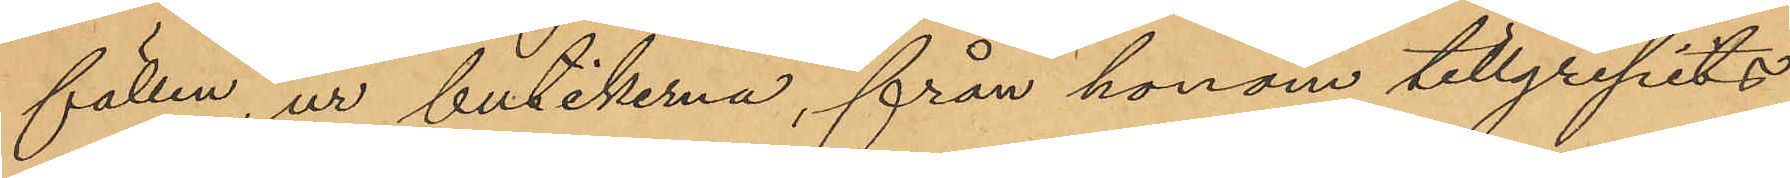fällen, ur butikerna, från honom tillgripits
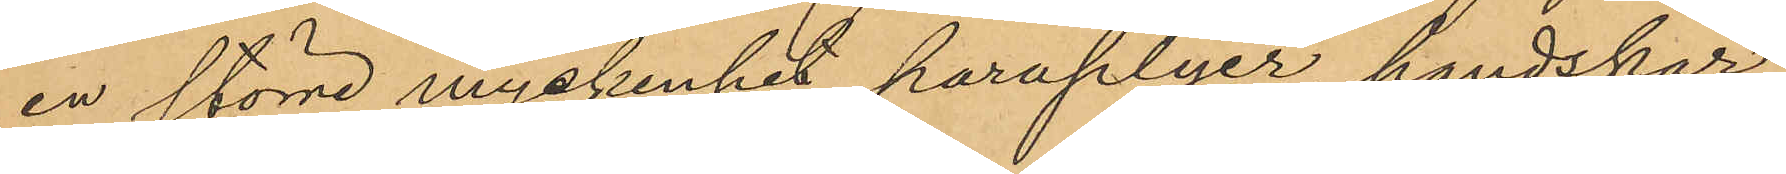en större myckenhet paraplyer, handskar
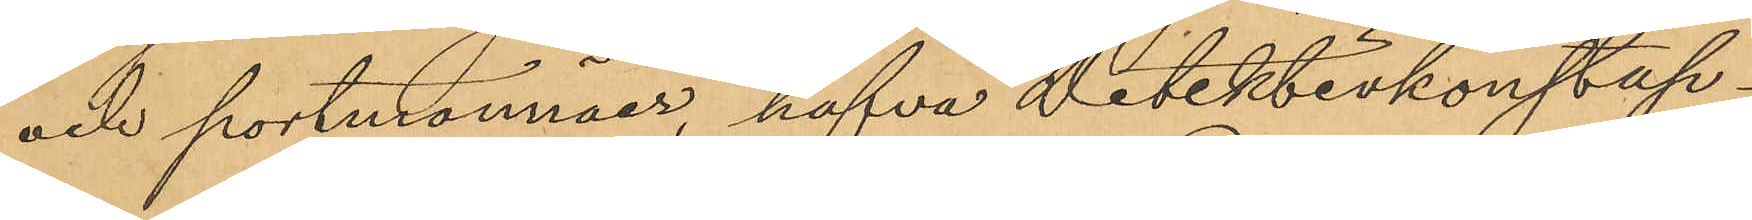och portmonnäer, hafva Detektivkonstap¬
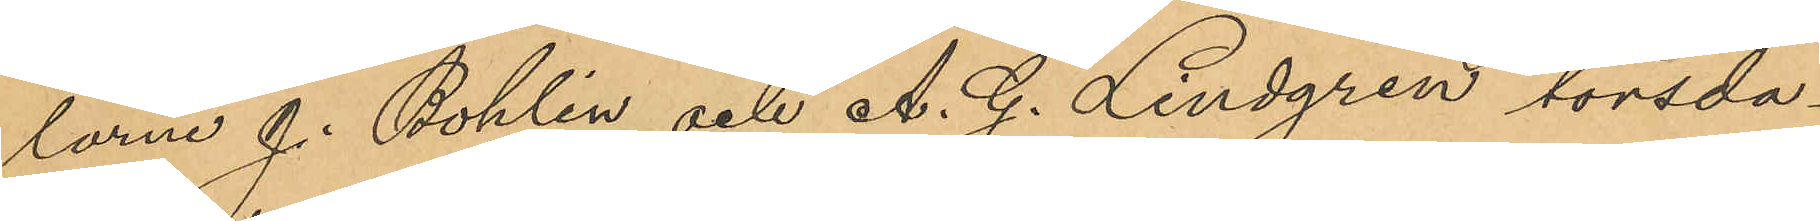larne J. Bohlin och A. G. Lindgren torsda¬
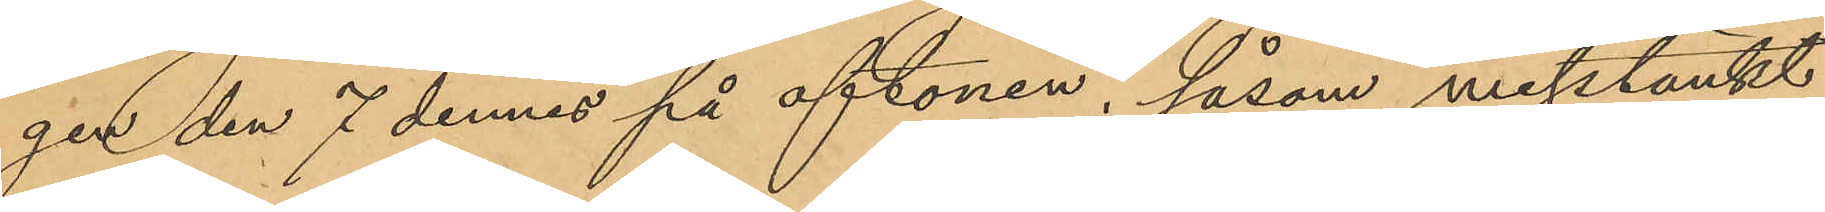gen den 7 dennes på aftonen, såsom misstänkt
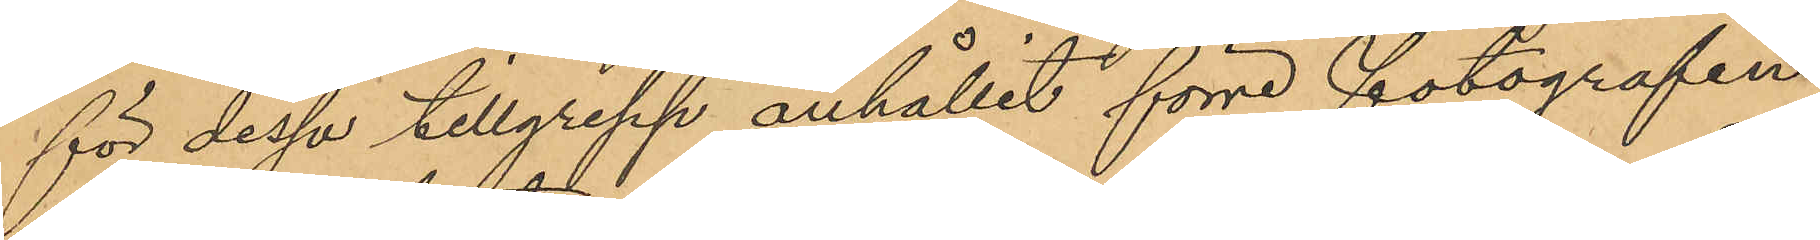för dessa tillgrepp anhållit förre fotografen
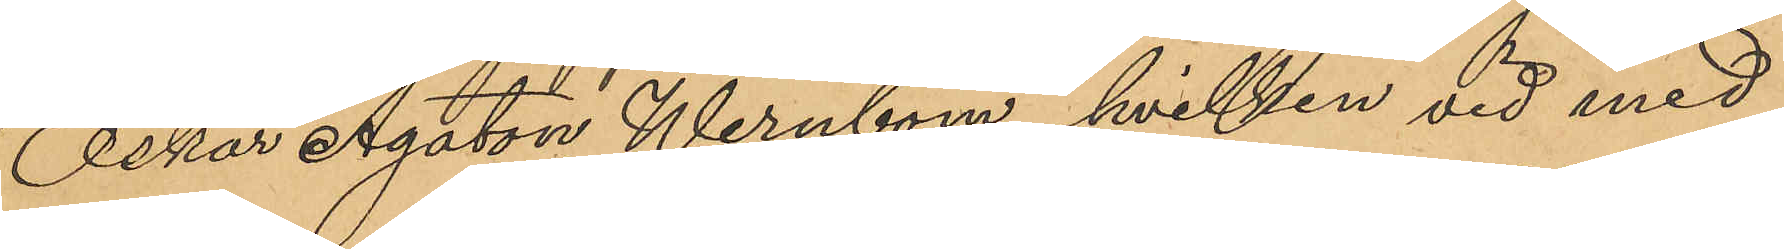Oskar Agaton Wernbom, hvilken vid med
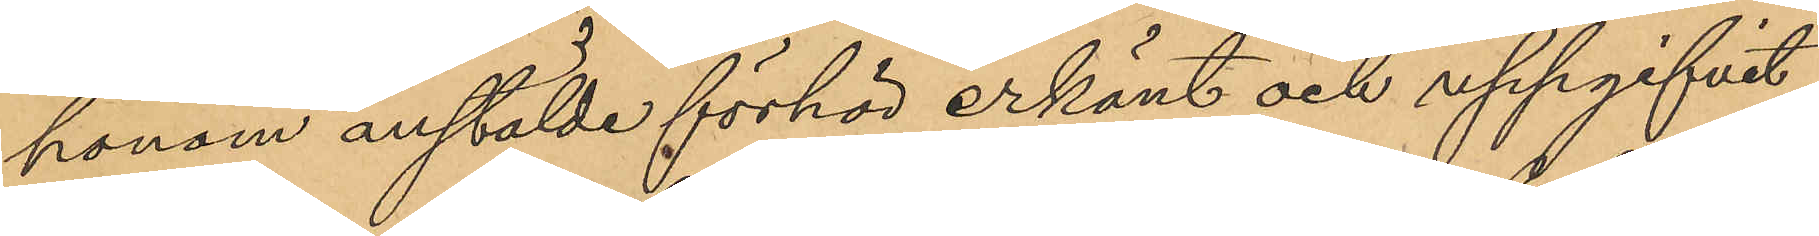honom anstälde förhör erkänt och uppgifvit,
